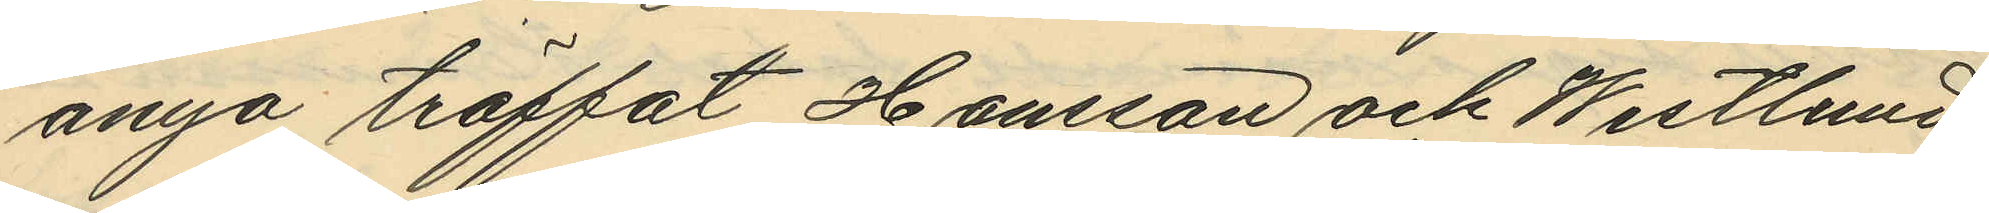ånyo träffat Hansson och Westlund
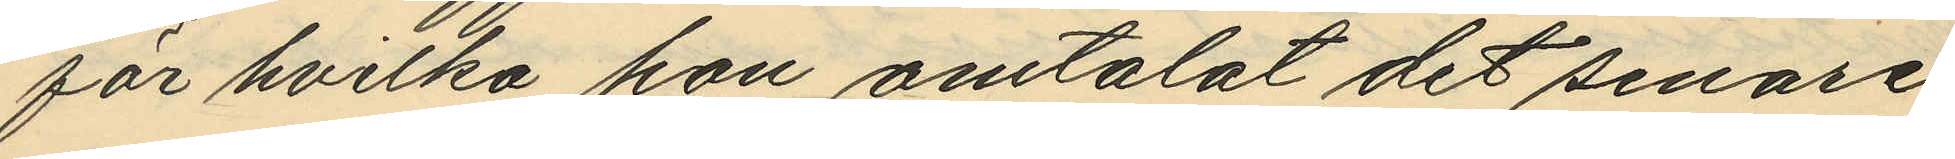för hvilka hon omtalat det senare
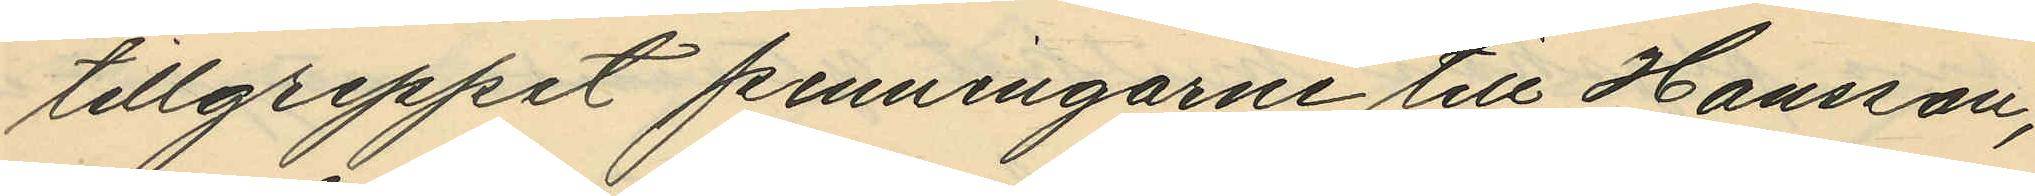tillgreppat penningarne till Hansson,
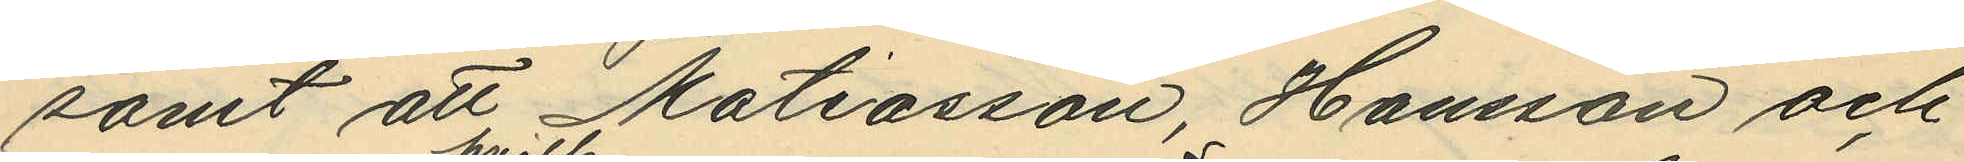samt att Matiasson, Hansson och
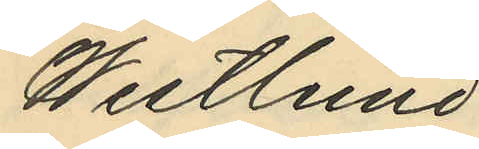Westlund
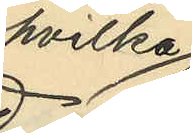hvilka
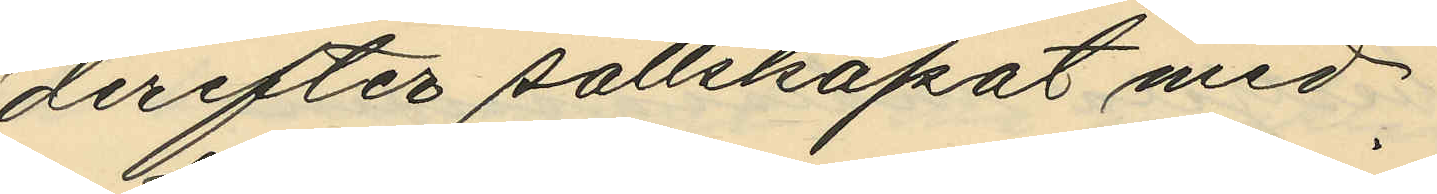derefter sällskapat med
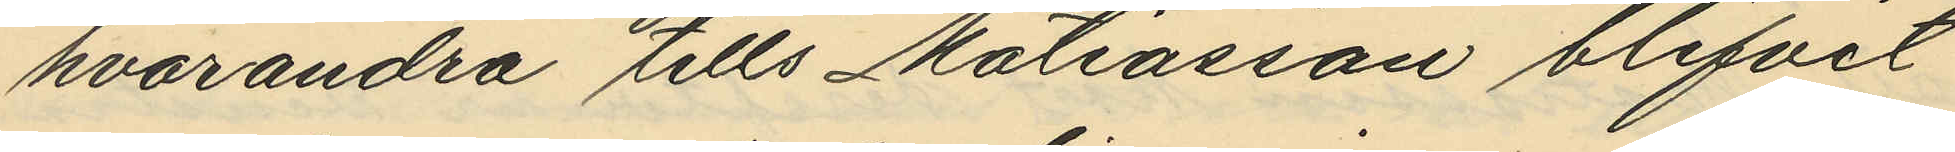hvarandra tills Matiasson blifvit
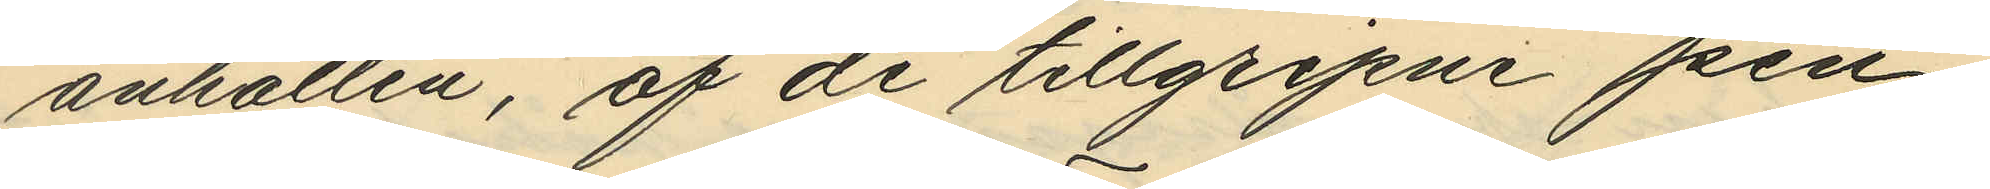anhållen, af de tillgripne pen¬
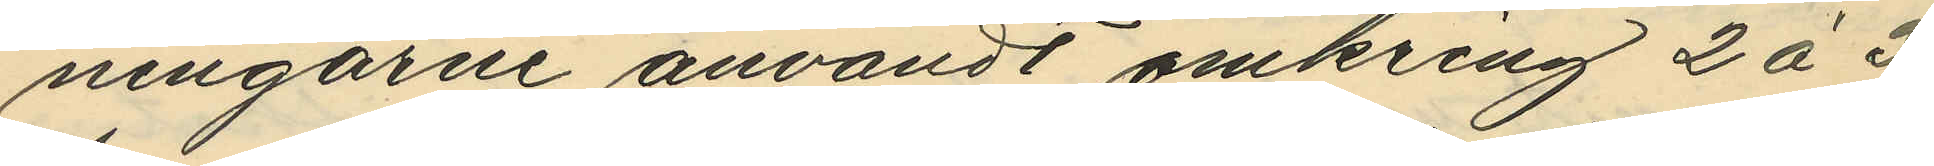ningarne användt omkring 2 á 3
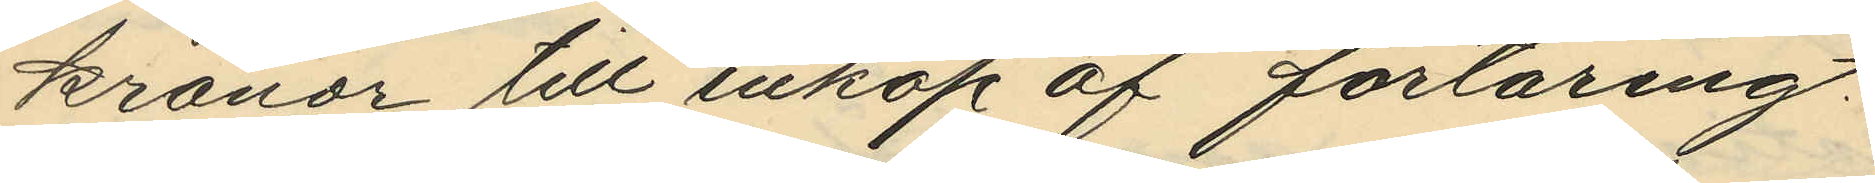kronor till inköp af förtäring.
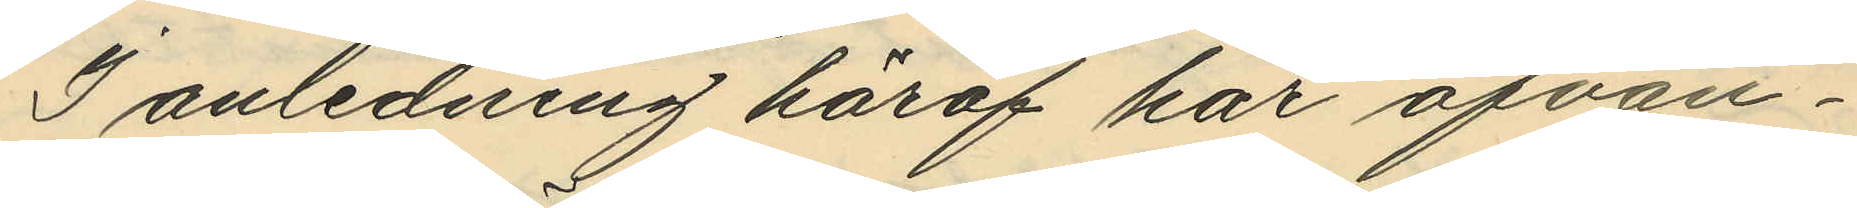I anledning häraf har ofvan¬
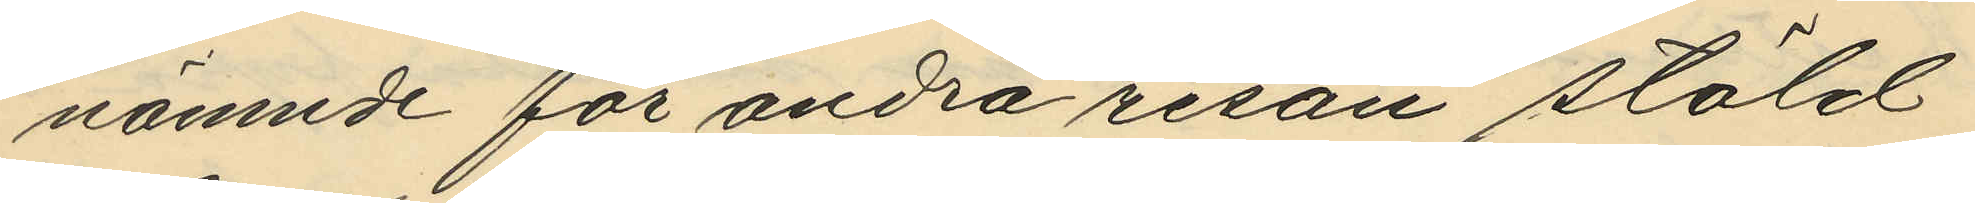nämnde för andra resan stöld
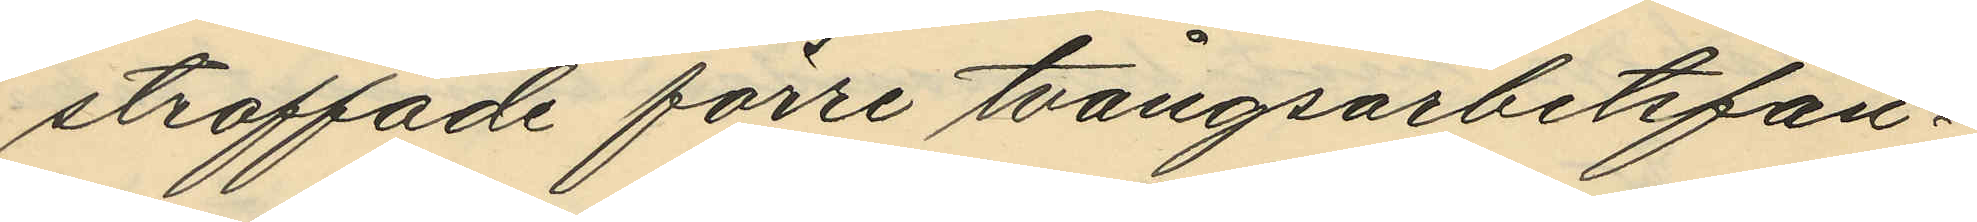straffade förre tvångsarbetsfån¬
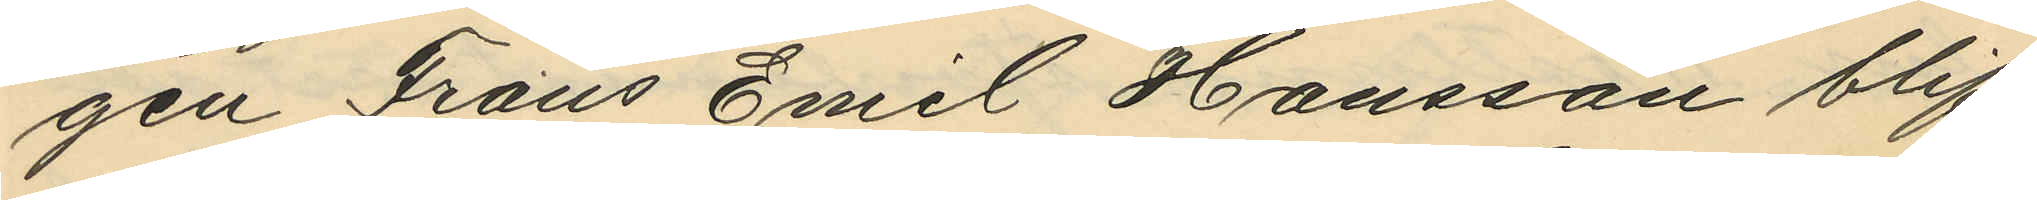gen Frans Emil Hansson blif¬
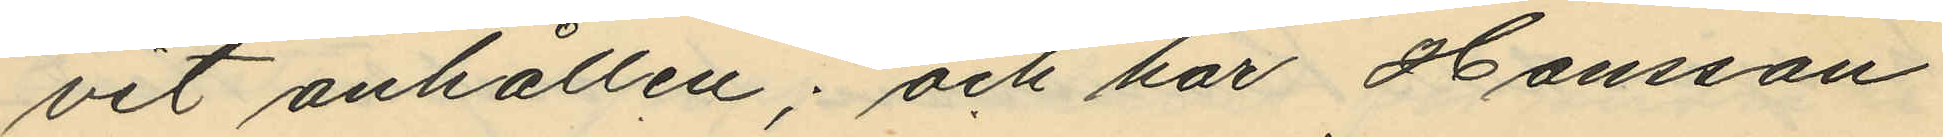vit anhållen; och har Hansson
